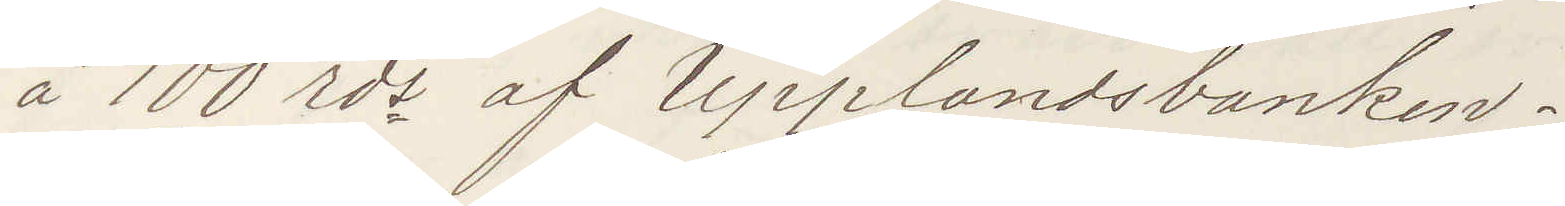å 100 rds af Upplandsbanken.
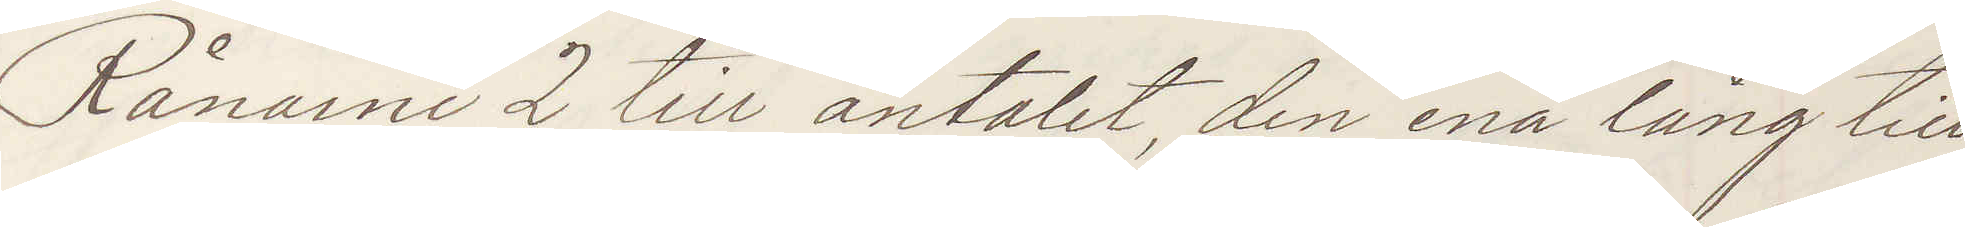Rånarne 2 till antalet, den ena lång till
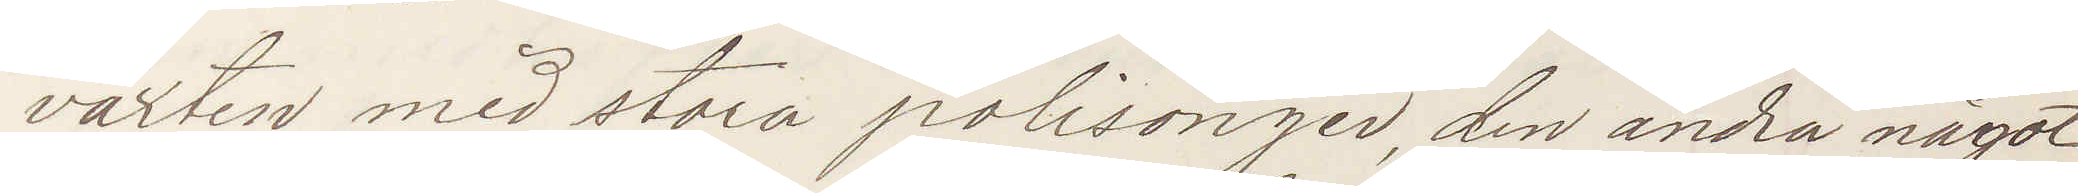växten med stora polisonger, den andra något
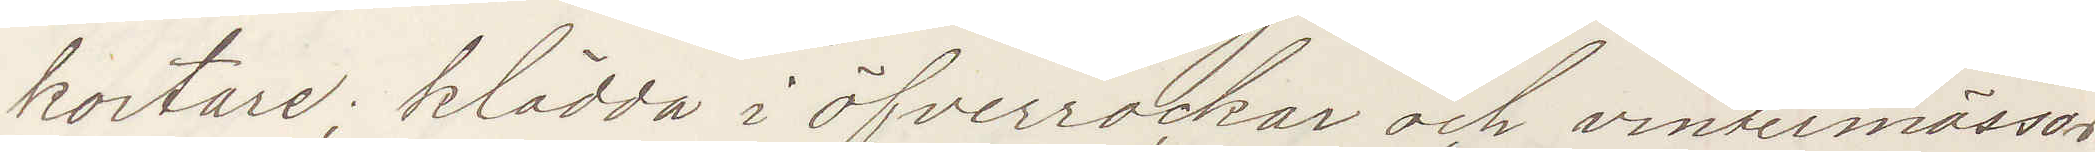kortare; klädda i öfverrockar och vintermössor
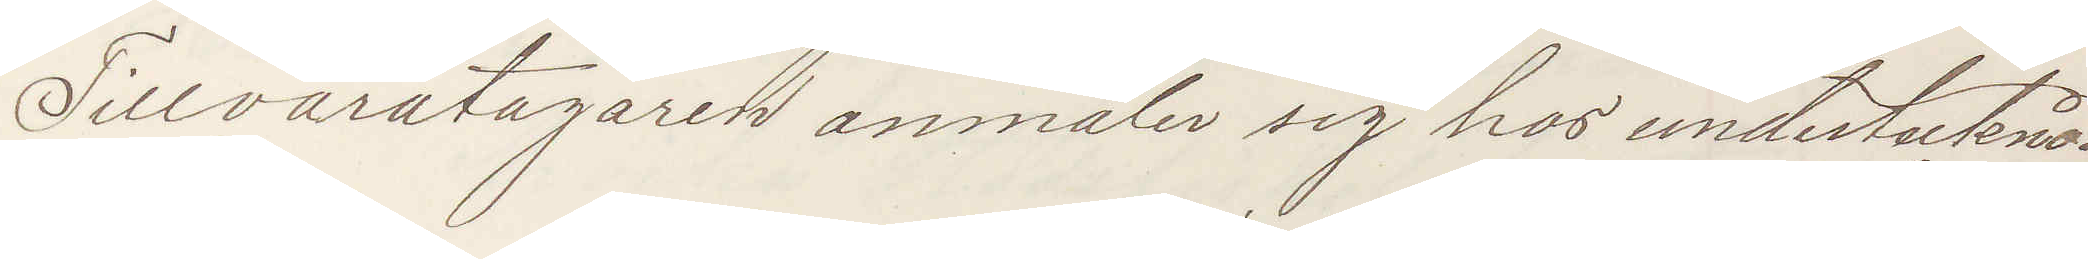Tillvaratagaren anmäler sig hos undertecknad
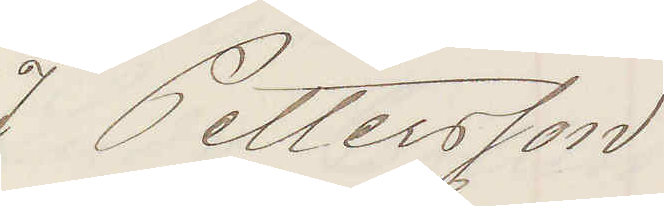J Pettersson
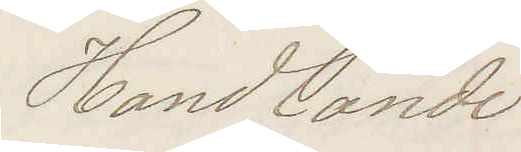Handlande
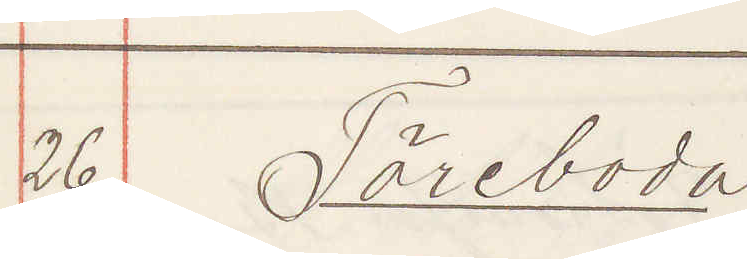26. Töreboda
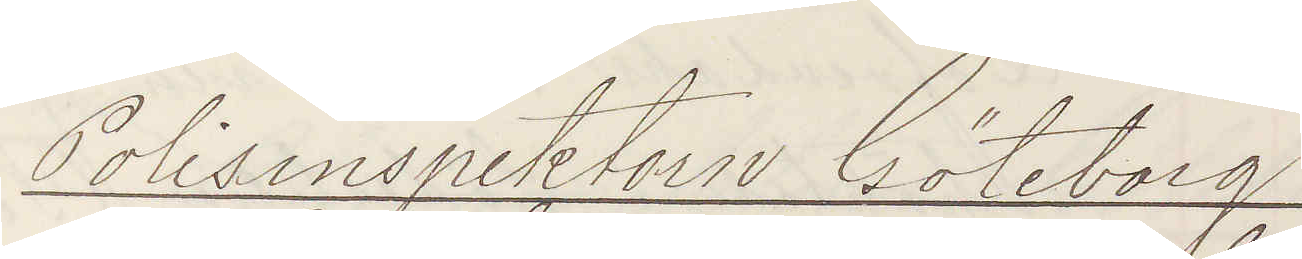Polisinspektorn Göteborg
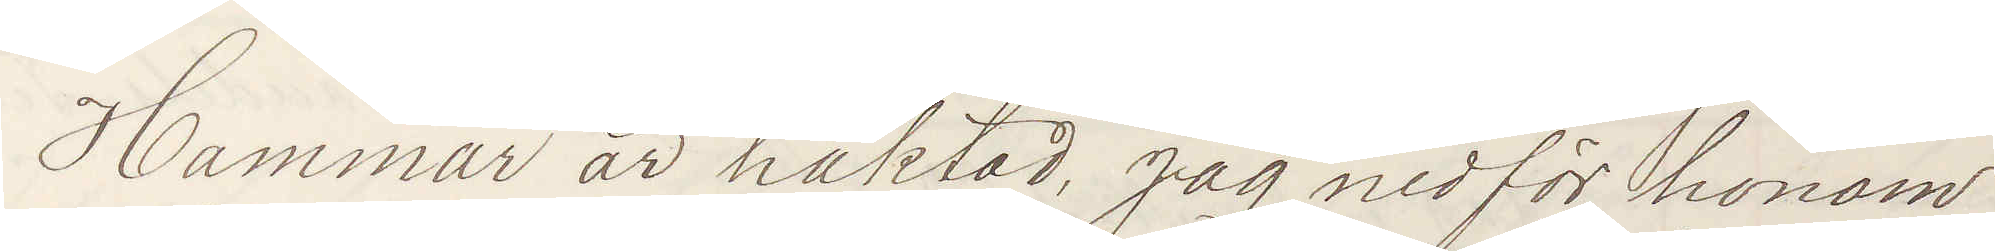Hammar är häktad, jag medför honom
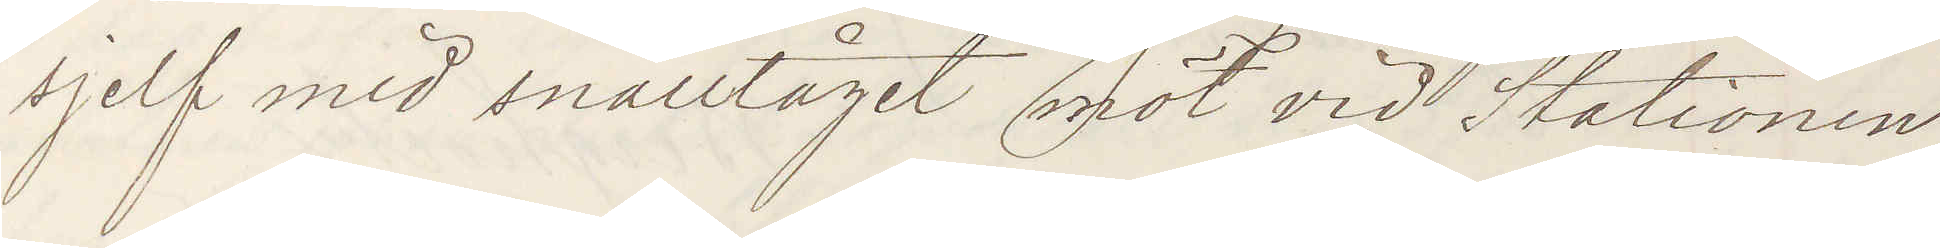sjelf med snälltåget möt vid Stationen
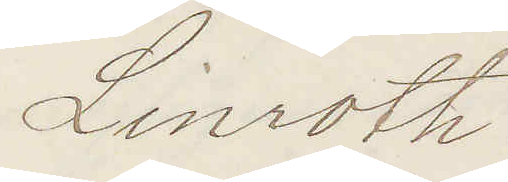Linroth.
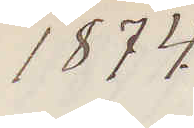1874.
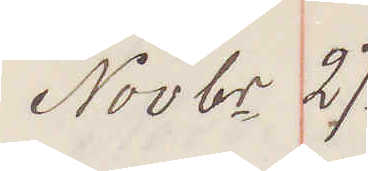Novbr 27.
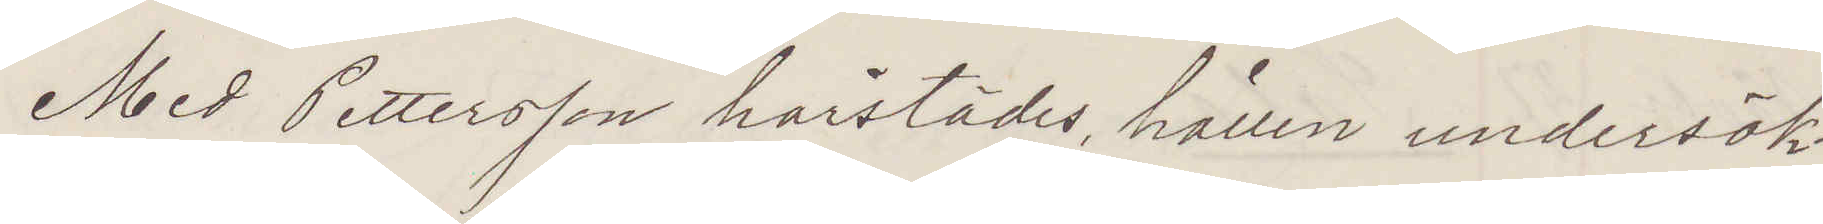Med Pettersson härstädes, hållen undersök¬
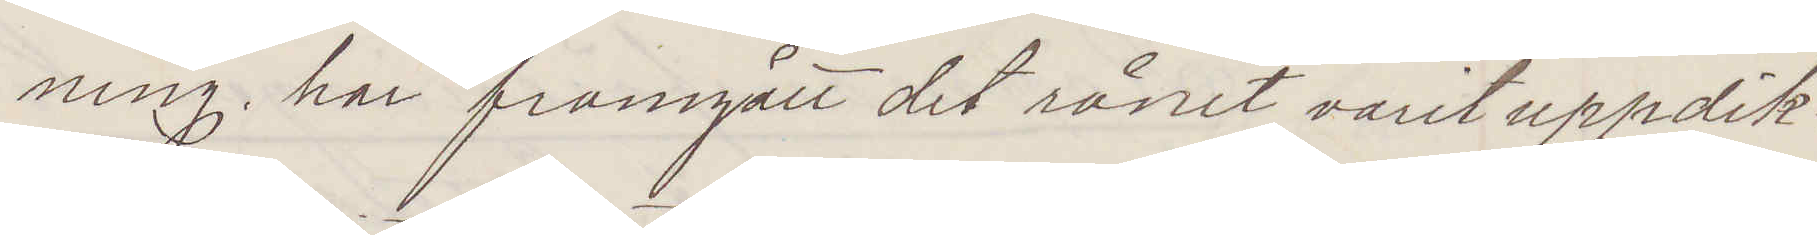ning, har framgått det rånet varit uppdik¬
